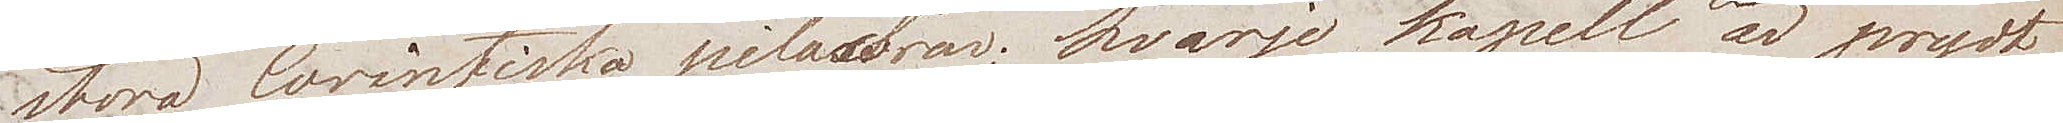stora Corintiska pilastrar; hvarje kapell är prydt
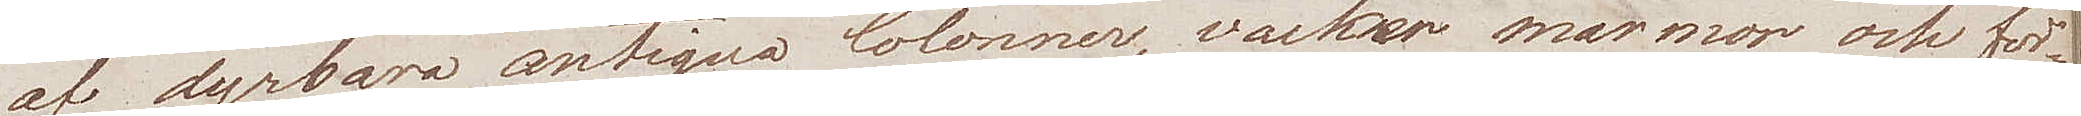af dyrbara antiqua Colonner, vacker marmor och för¬
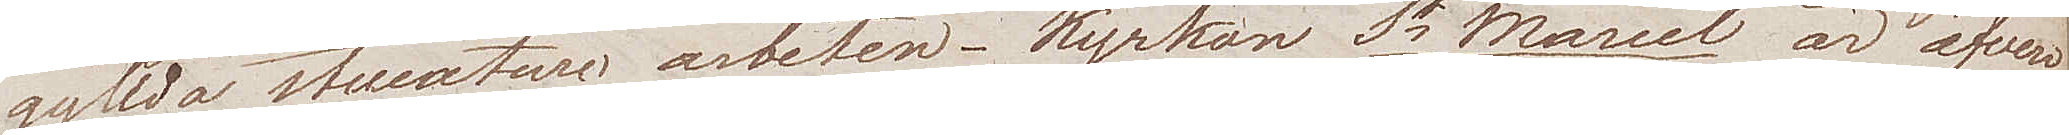gyllda stucature arbeten. Kyrkan St Marcel är äfven
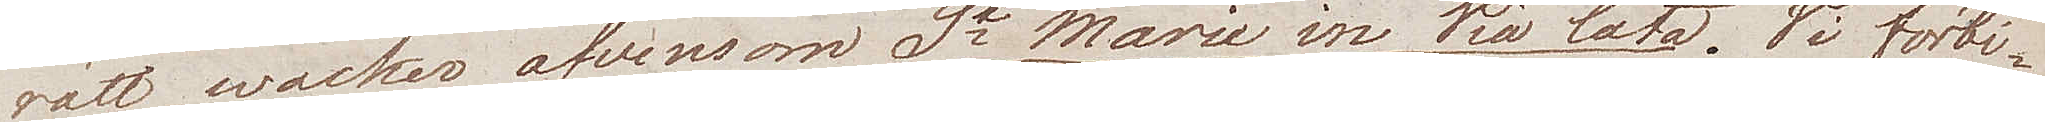rätt wacker äfvensom St Marie in Via Lata. Vi förbi¬
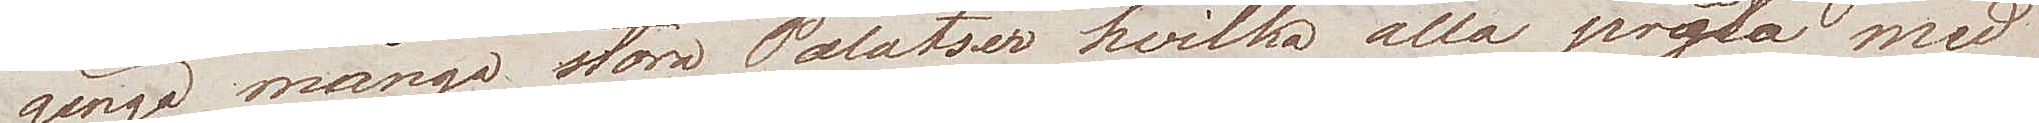gingo många stora Palatser hvilka alla pråla med
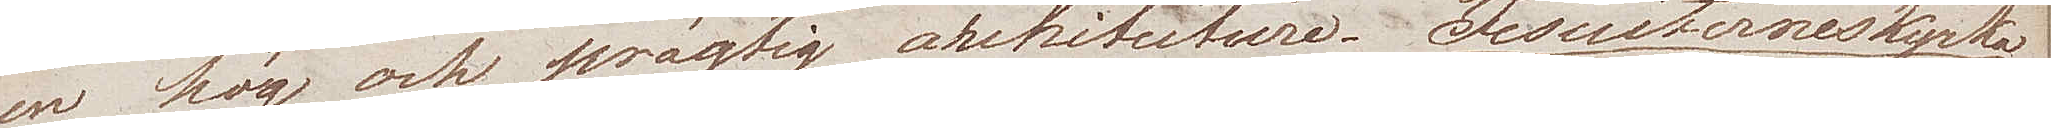en hög och prägtig arkitecture. Jesuiternes kyrka
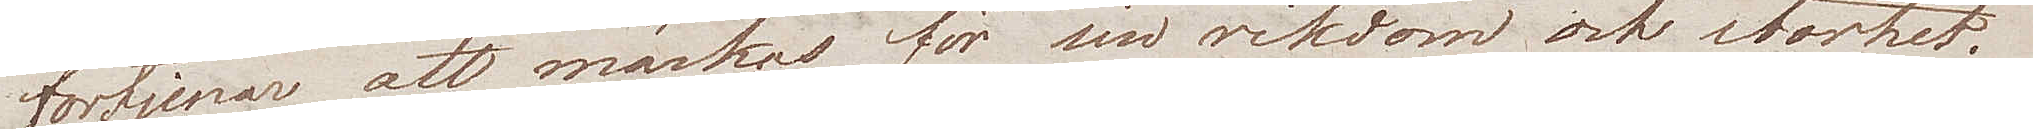förtjenar att märkas för sin rikdom och storhet.
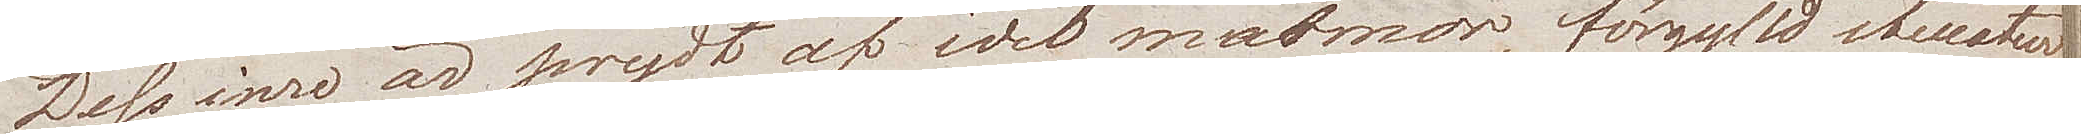Dess inre är prydt af idel marmor, förgylld stucature,
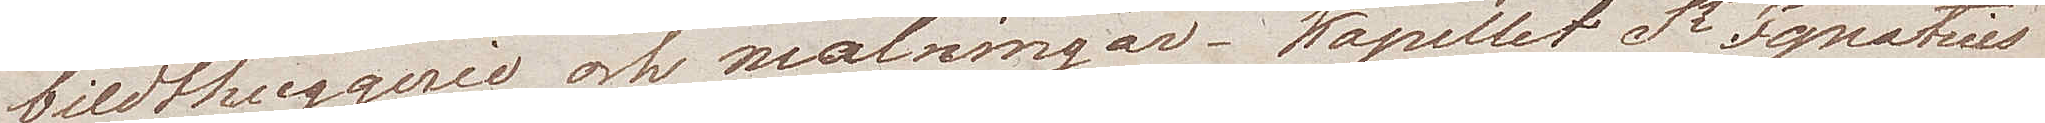bildhuggerie och målningar. Kapellet St Ignatius
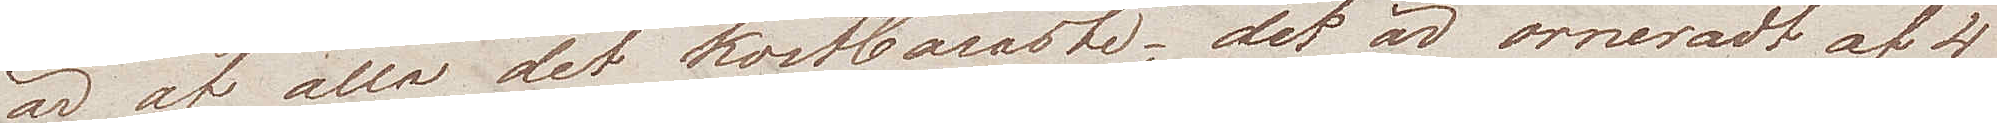är af alla det kostbaraste; det är orneradt af 4
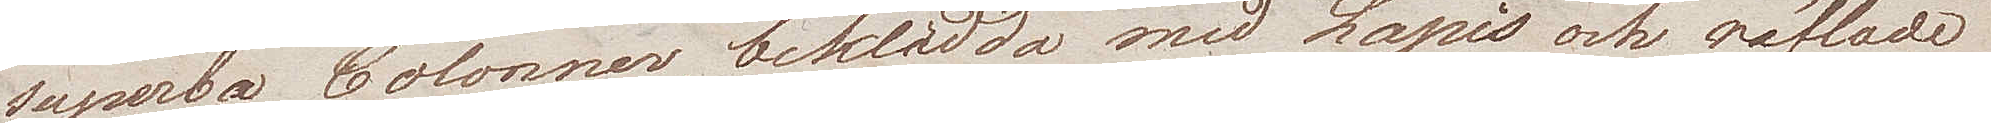superba Colonner beklädda med Lapis och räfflade
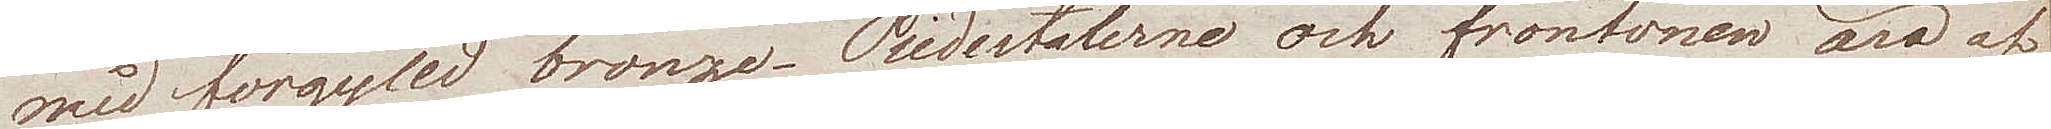med förgylld bronze. Piedestalerne och frontonen äro af
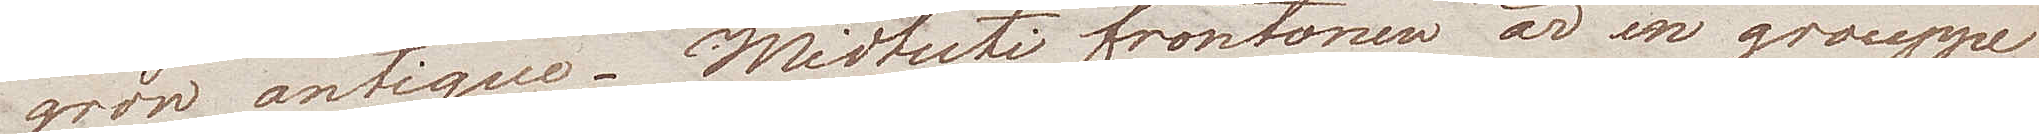grön antique. Midtuti frontonen är en grouppe
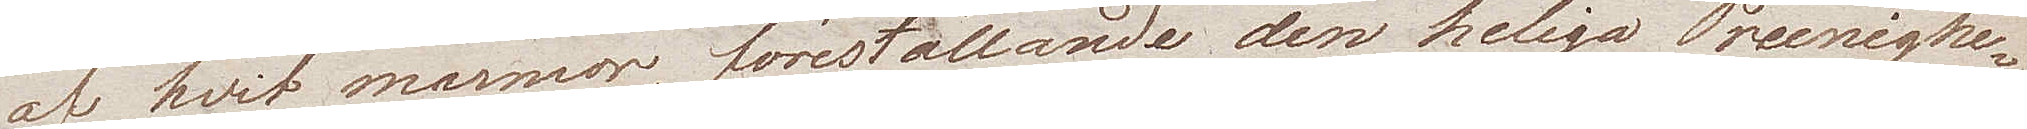af hvit marmor, föreställande den heliga Treenighe¬
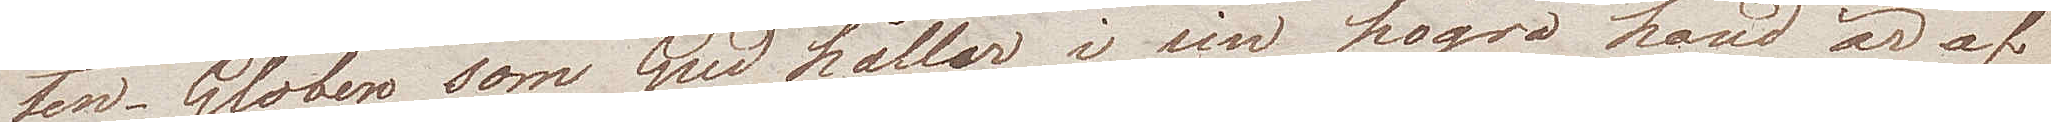ten. Globen som Gud håller i sin högra hand är af
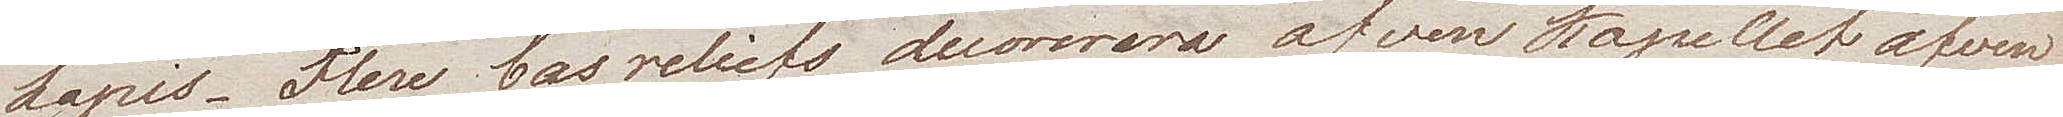Lapis. Flere bas reliefs decorera äfven Kapellet äfven¬
